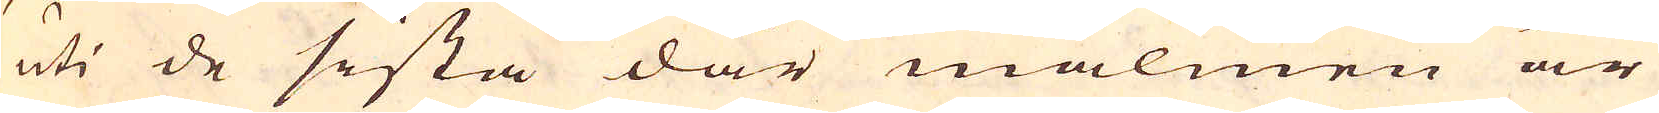uti de sista där malmen är
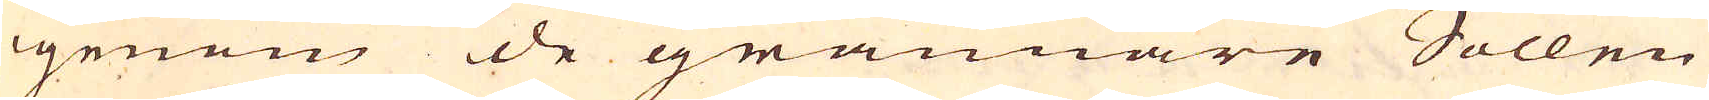igenom de grannare Sollen
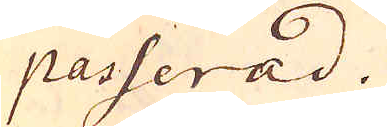passerad.
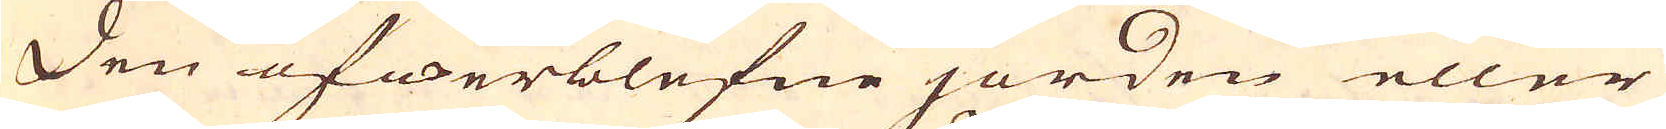Den öfwerblefne jorden eller
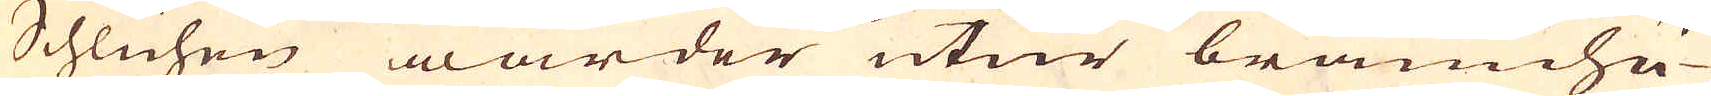Schlichen warder utur brännhu-
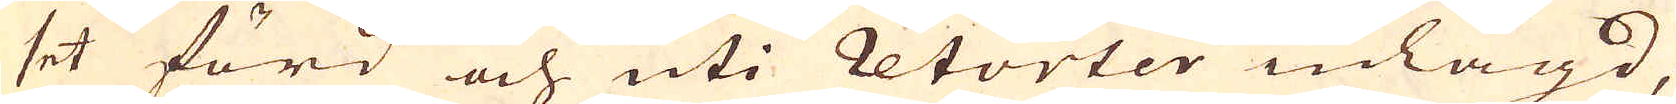set förd och uti retorter inlagd,
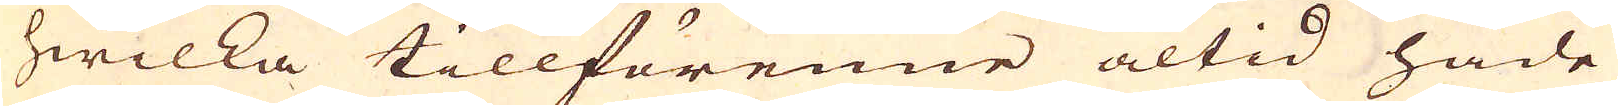hwilka tillförenne altid hade
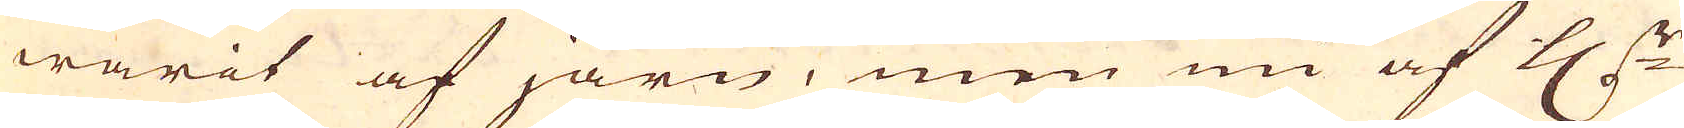warit af järn, men nu af H:r
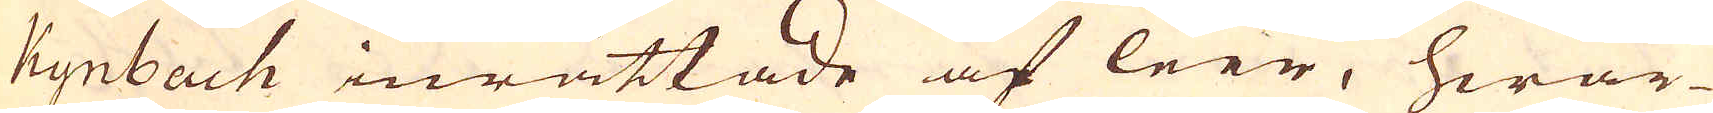Kynbach inrättade af leer, hwar-
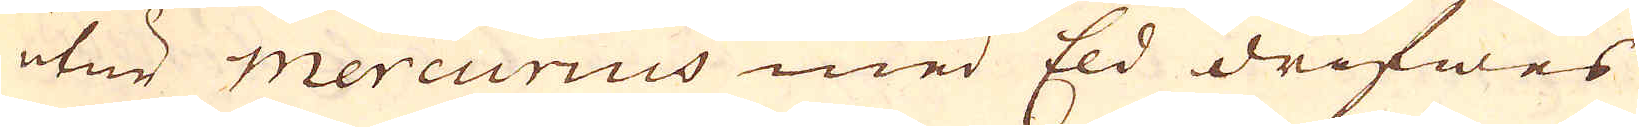utur mercurius med Eld drifwes
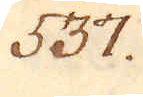537.
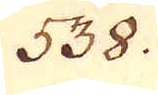538.
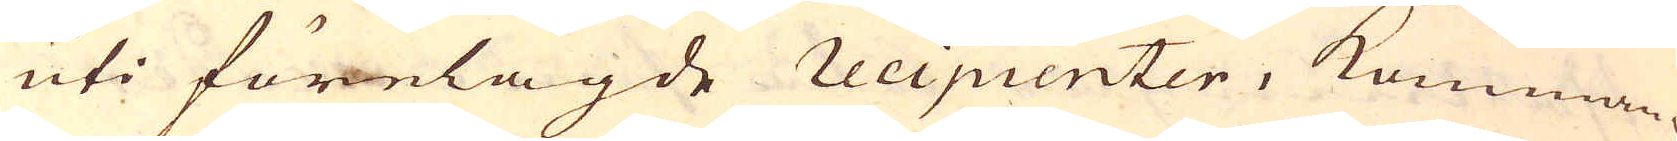uti förelagde recipienter, komman-
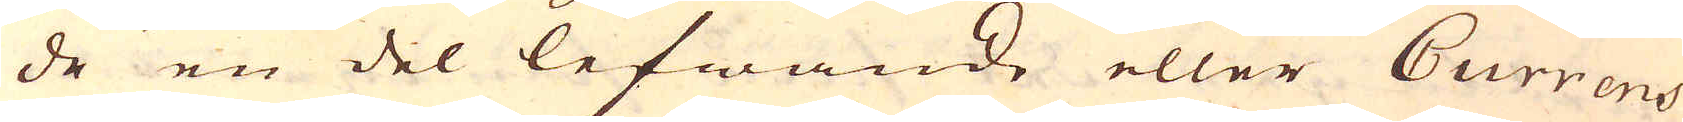de en del lefwande eller Currens
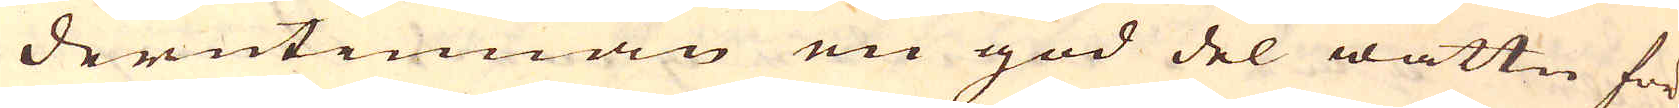derutinnan en god del wattn för-
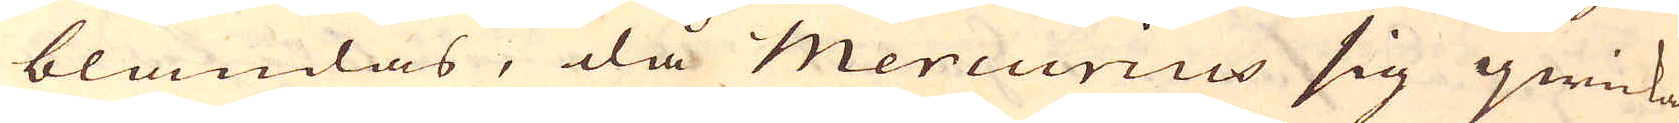blandas, då Mercurius sig qwicka,
